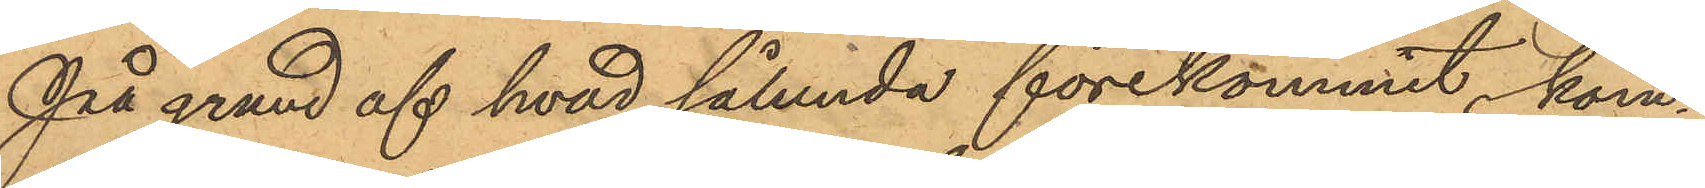På grund af hvad sålunda förekommit, kom¬
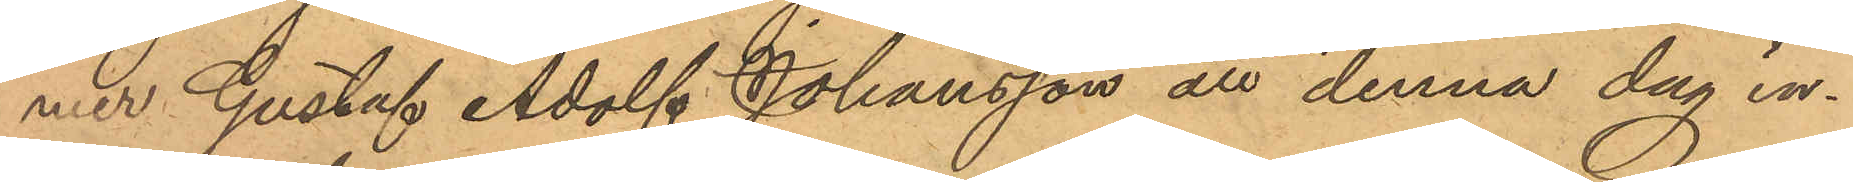mer Gustaf Adolf Johansson att denna dag in¬
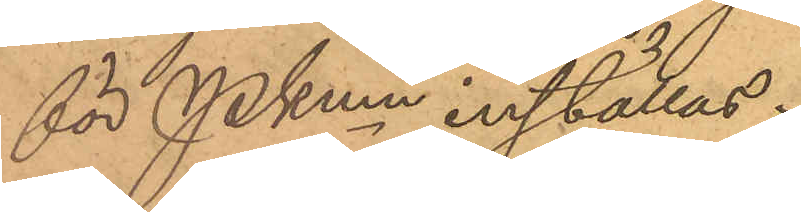för PKmn inställas.
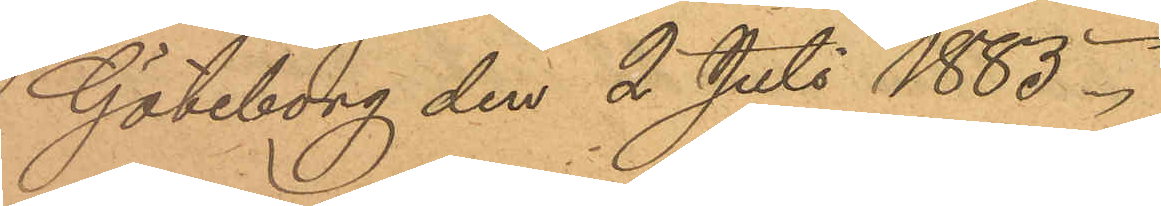Göteborg den 2 Juli 1883.
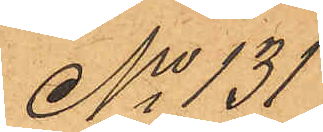No 131
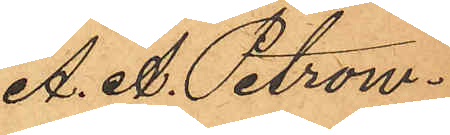A. A. Petrow¬
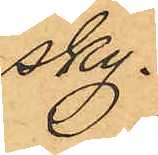sky.
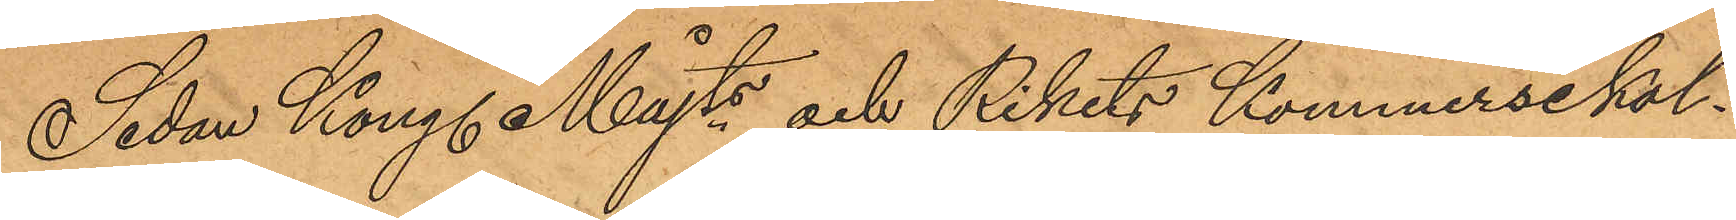Sedan Kongl. Majts och Rikets Kommersekol¬
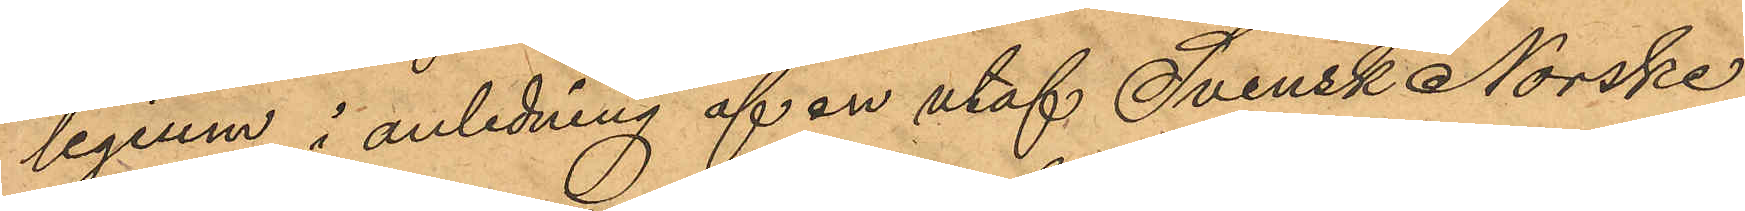legium i anledning af en utaf Svensk Norske
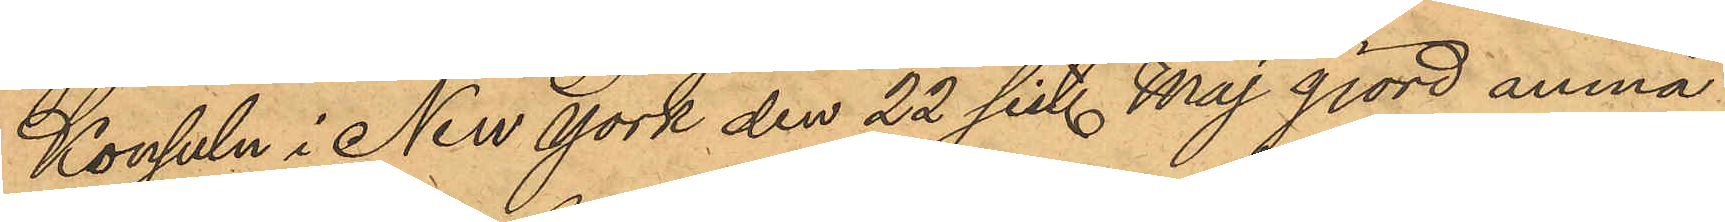Konsuln i New York den 22 sist. Maj gjord anmä-
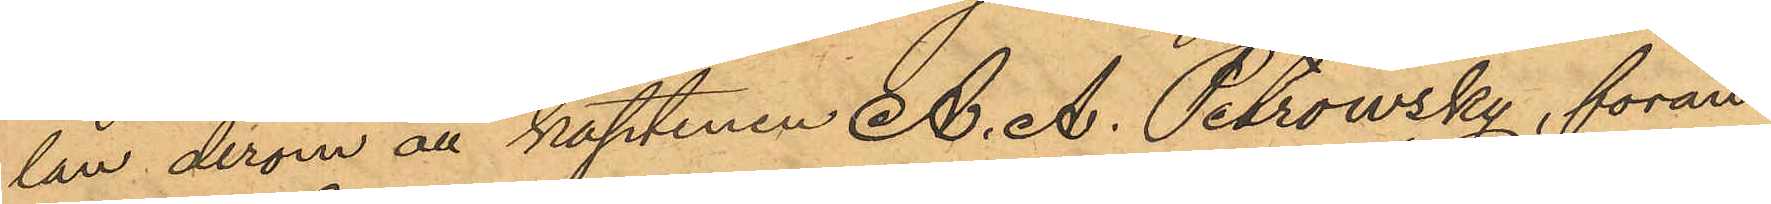lan derom att kaptenen A. A. Petrowsky, föran¬
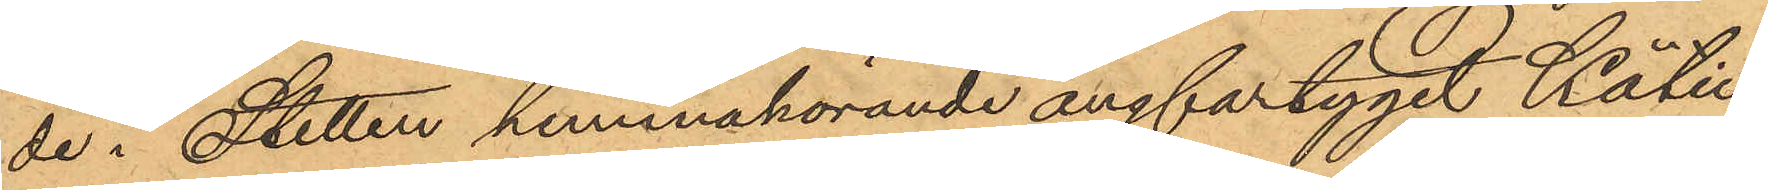de i Stetten hemmahörande ångfartyget Kätie,
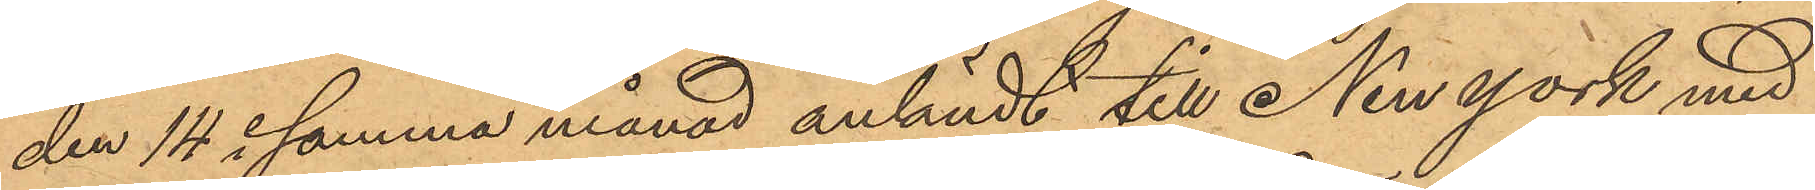den 14 i samma månad anländt till New York med
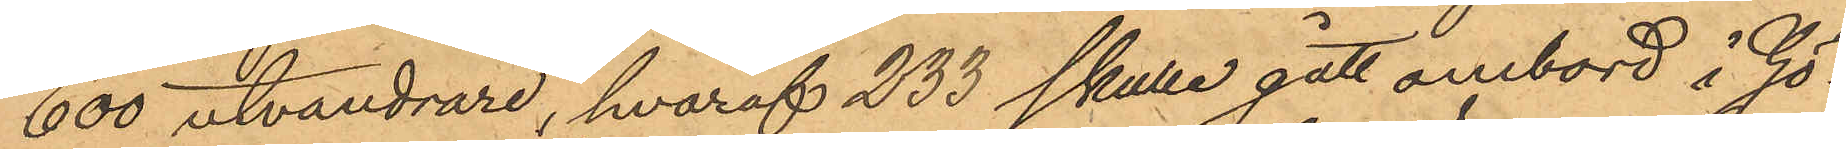600 utvandrare, hvaraf 233 skulle gått ombord å Gö¬
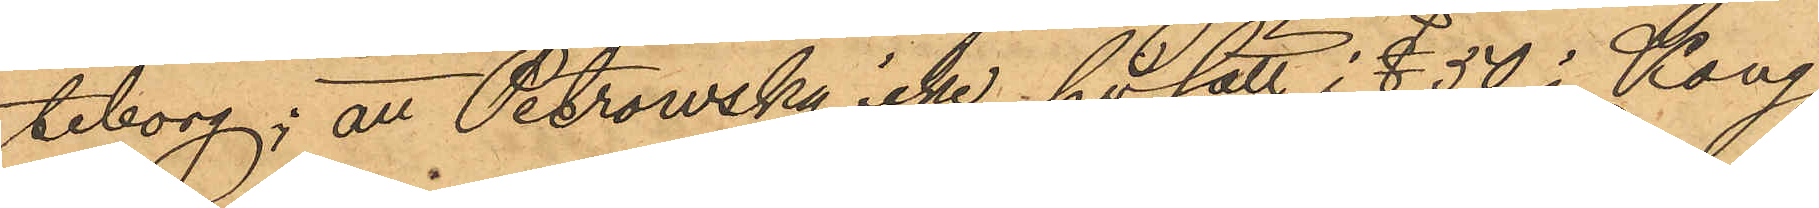teborg; att Petrowsky icke på sätt i § 50 i Kong
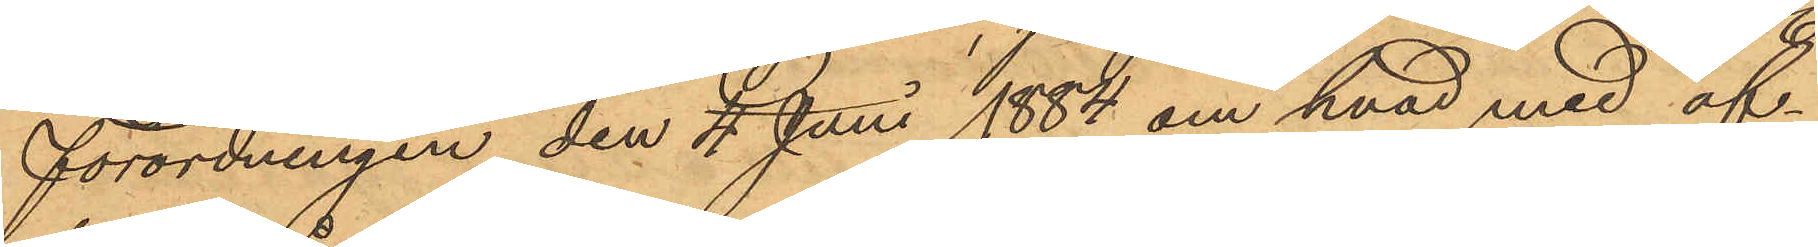förordningen den 4 Juni 1884 om hvad med af¬
